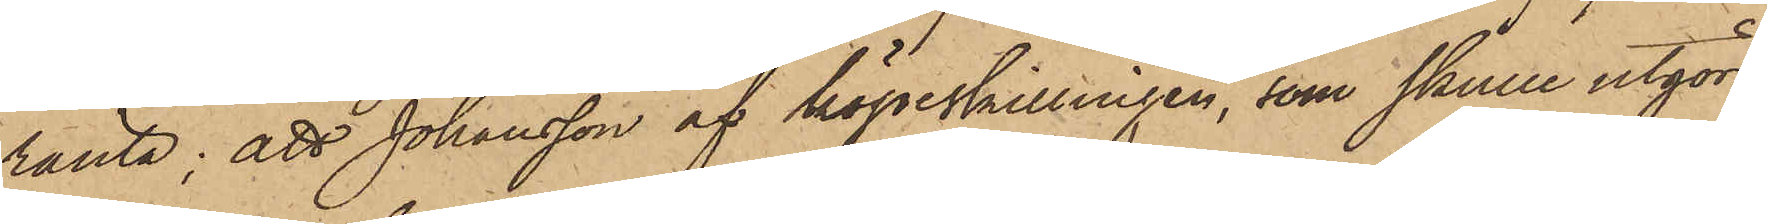ränta; att Johansson af köpeskillingen, som skulle utgöra
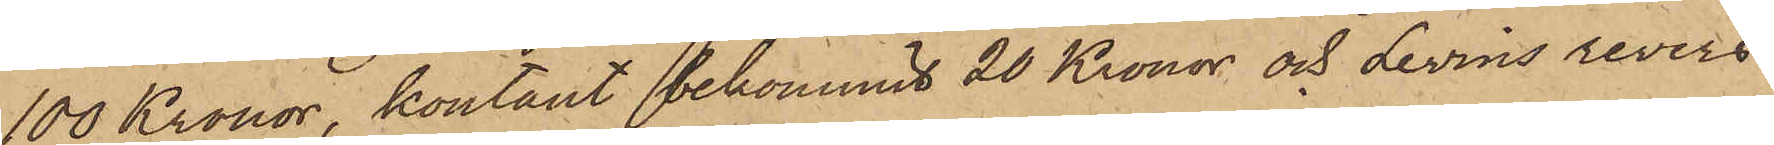100 Kronor, kontant bekommit 20 Kronor och Levins revers
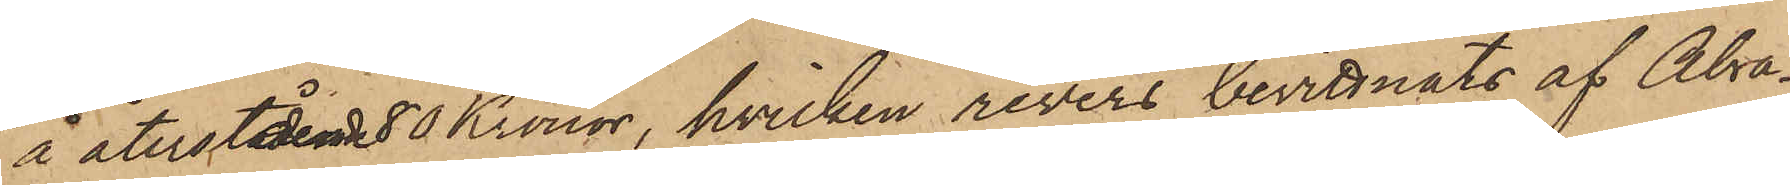å återstående 80 Kronor, hvilken revers bevittnats af Abra¬
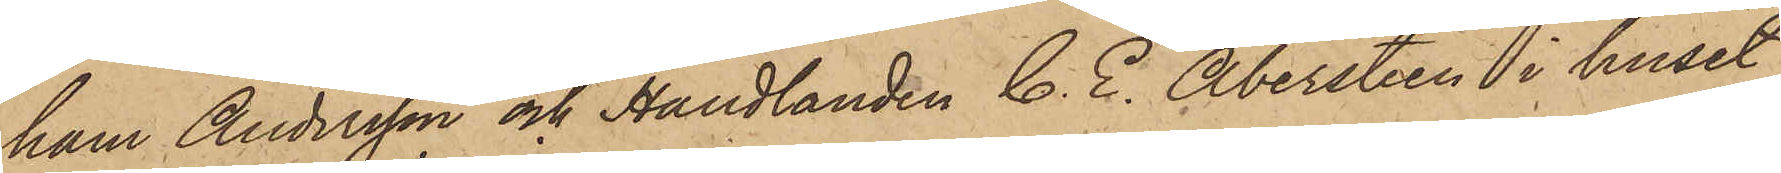ham Andersson och Handlanden C. E. Abersteen i huset
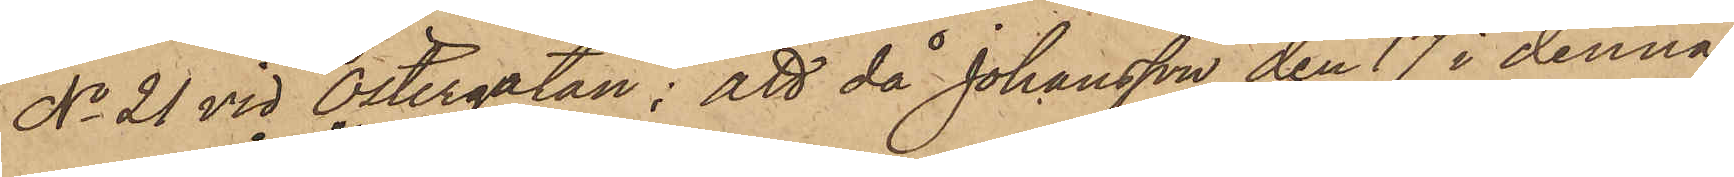No 21 vid Östergatan; att då Johansson den 17 i denna
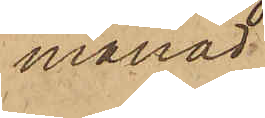månad
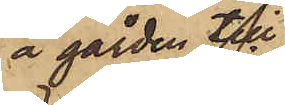å gården till
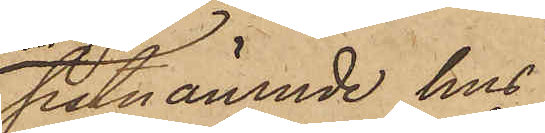sistnämnde hus
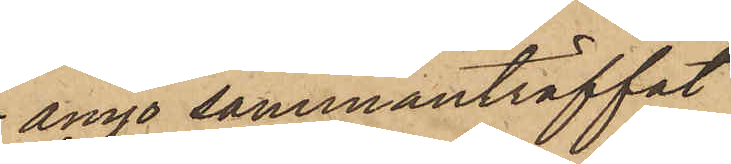ånyo sammanträffat
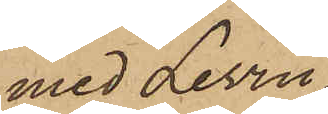med Levin,
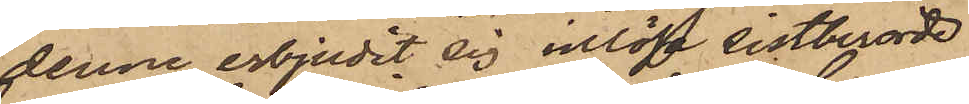denne erbjudit sig inlösa sistberörde
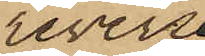revers,
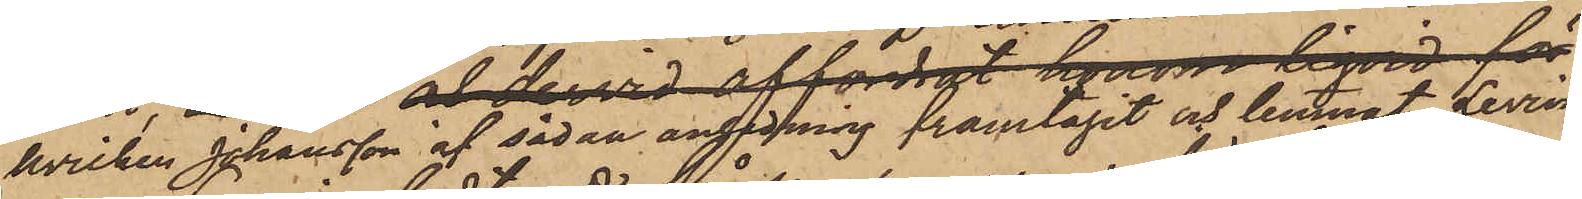hvilken Johansson af sådan anledning framtagit och lemnat Levin,
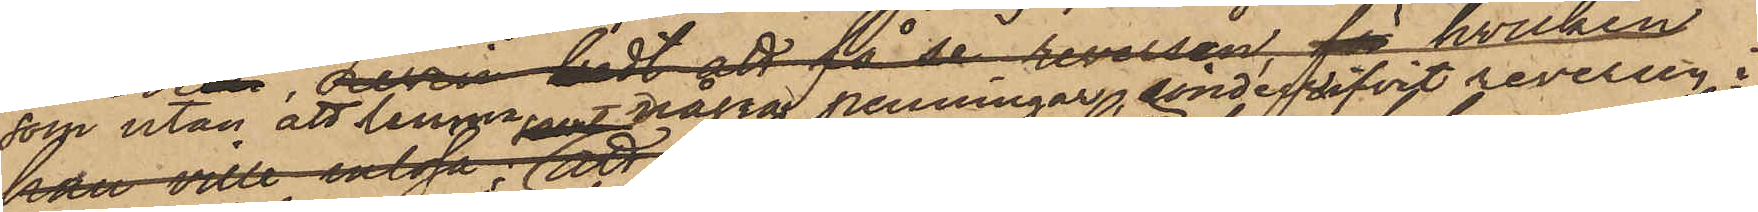som utan att lemna några penningar sönderrifvit reversen i
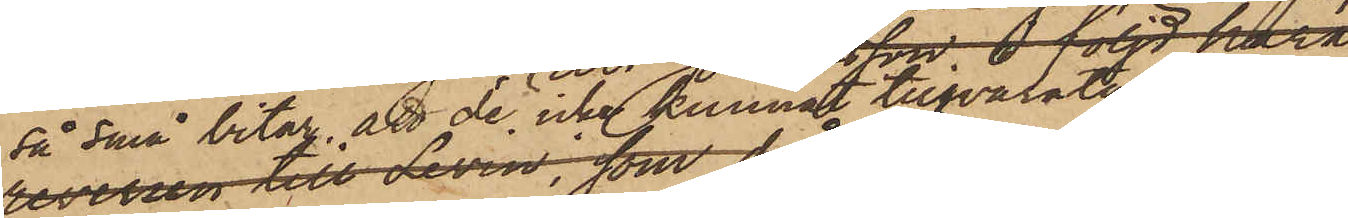så små bitar att de icke kunnat tillvaratagas och
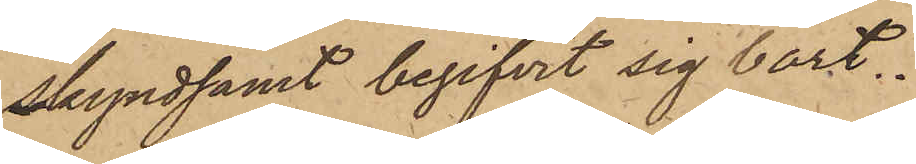skyndsamt begifvit sig bort.
